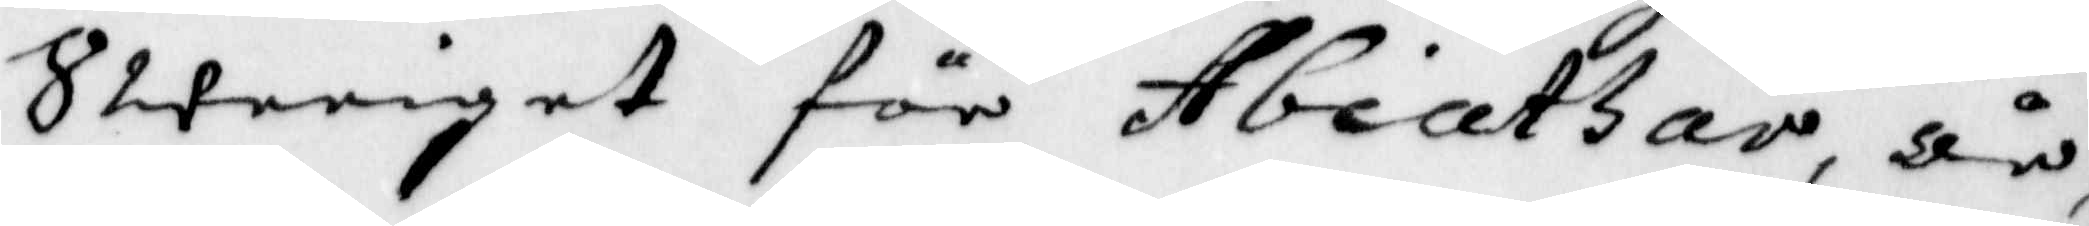Sweriget för Abiathar, är
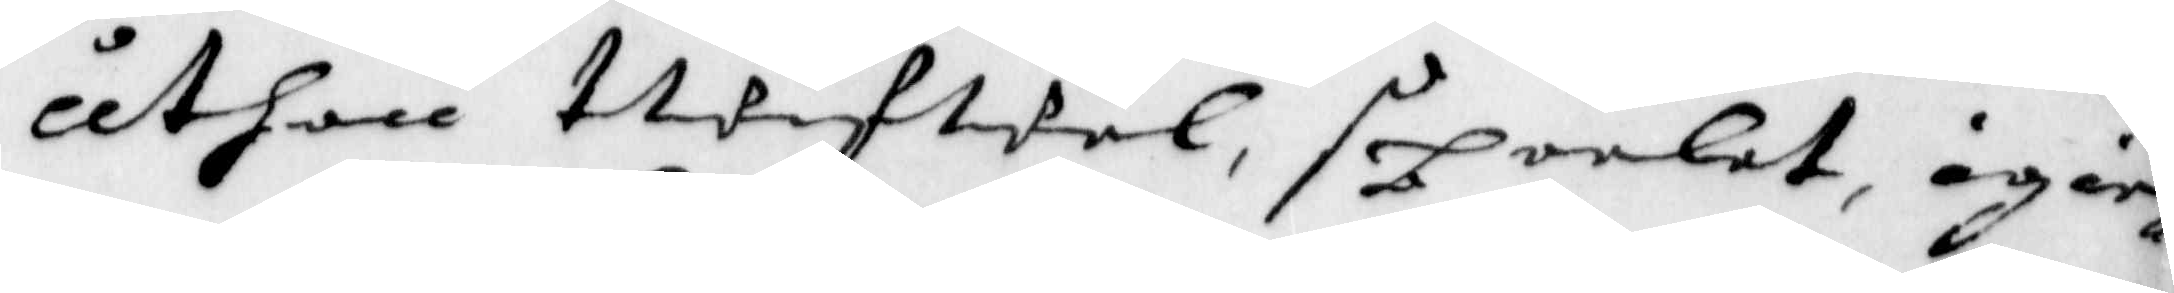uthan twifwel, speelet, äger
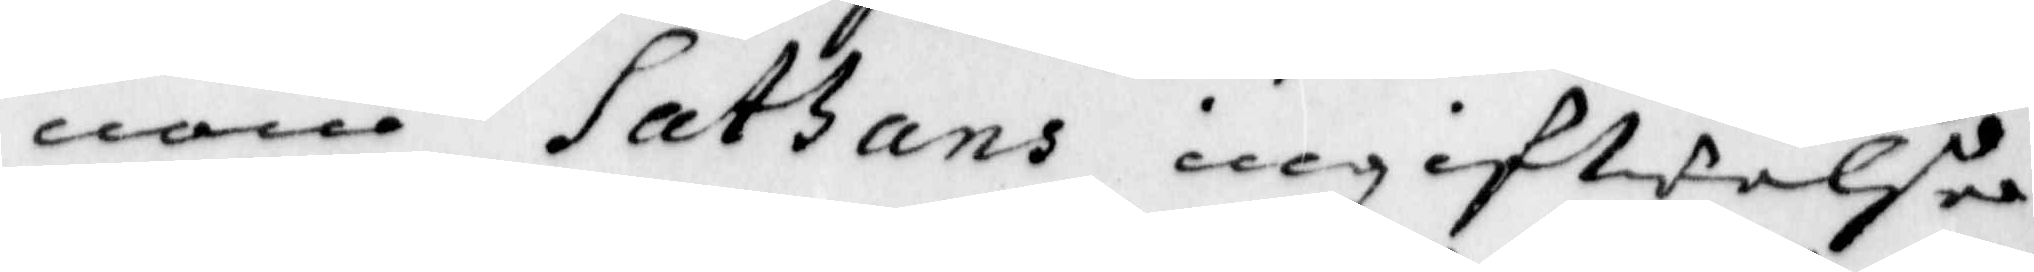nom Sathans ingifwelse
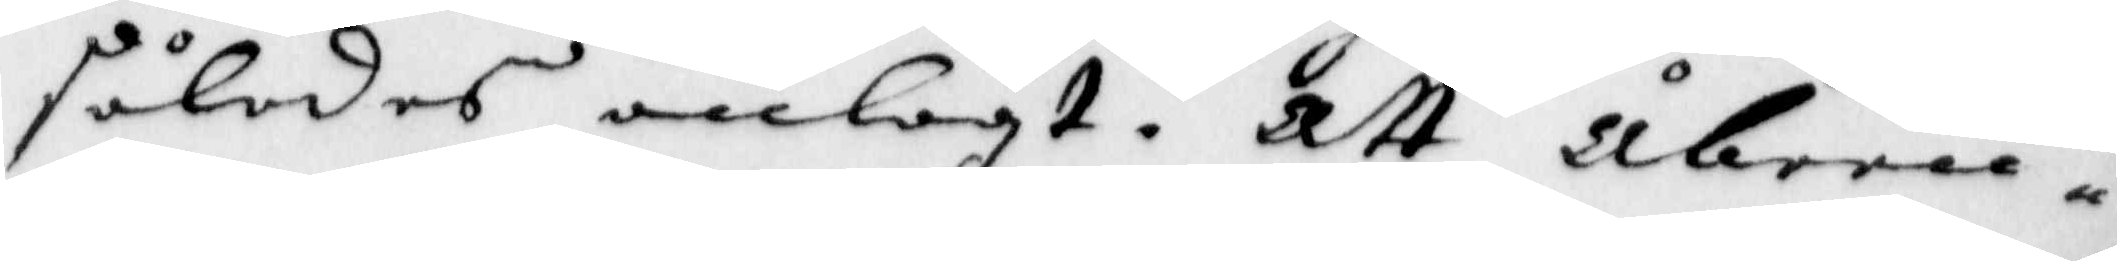således anlagt. Att åbeen
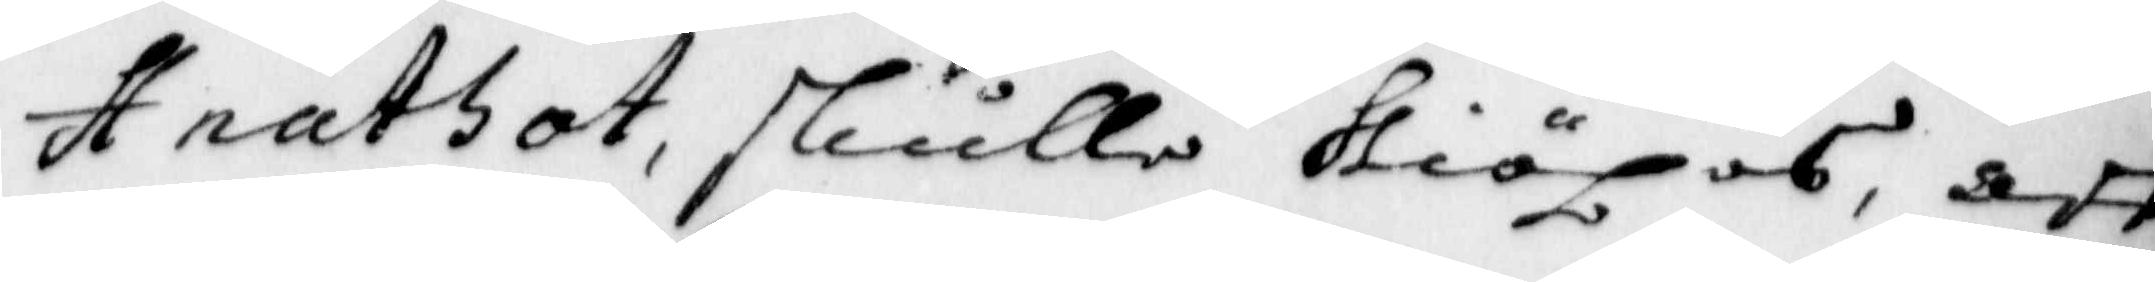st nathot skulle skiöpas, att
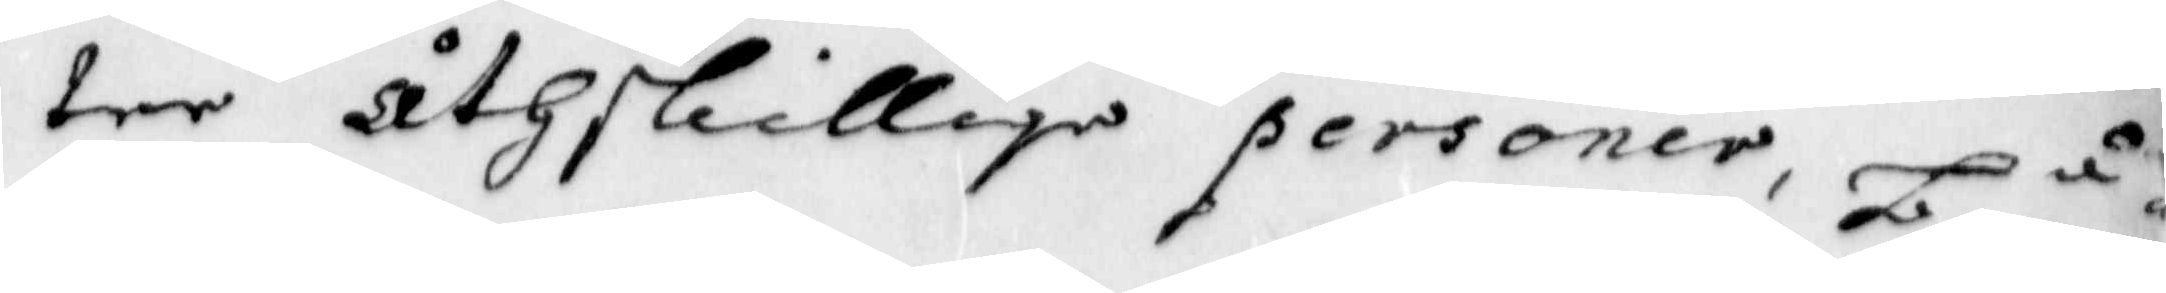tre åthskillige personer, Lå
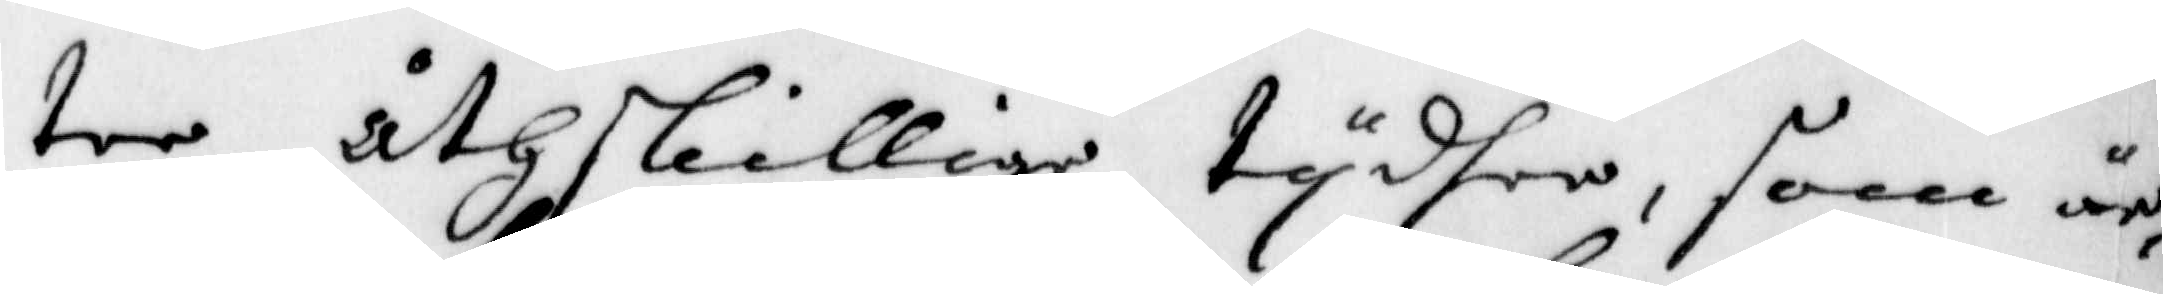ter åthskillige tydher, som är
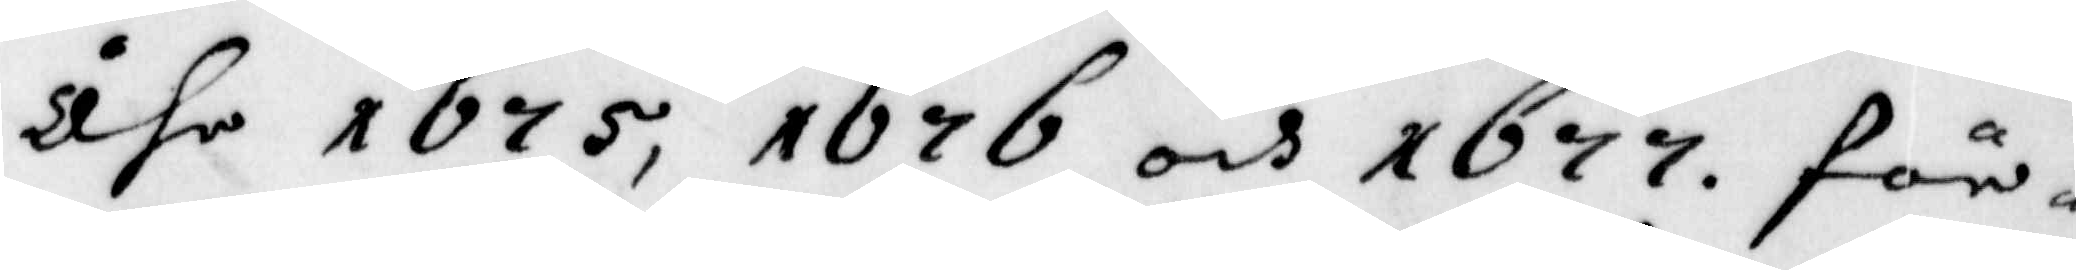åhr 1675, 1676 och 1677. för
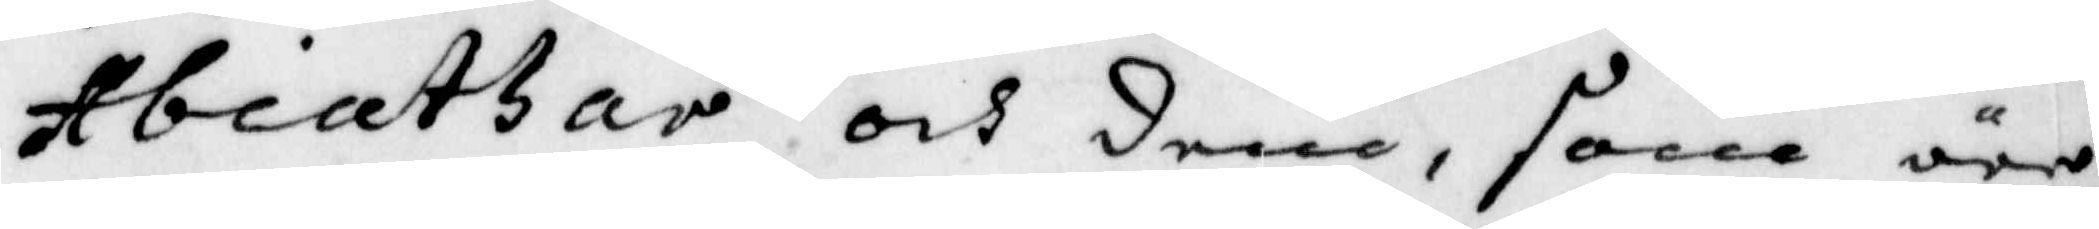Abiathar och dem, som äre
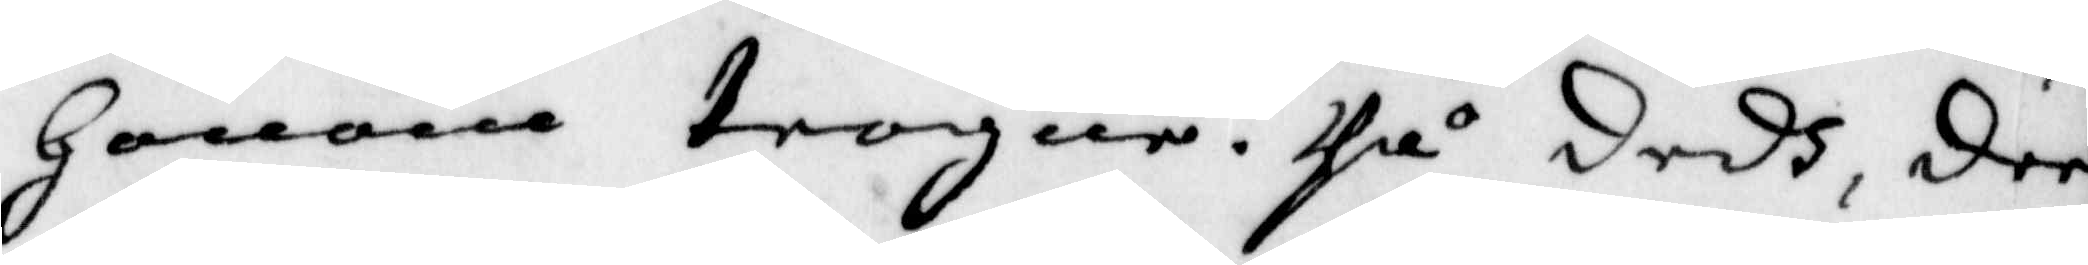Honom trogen. på dedh dee
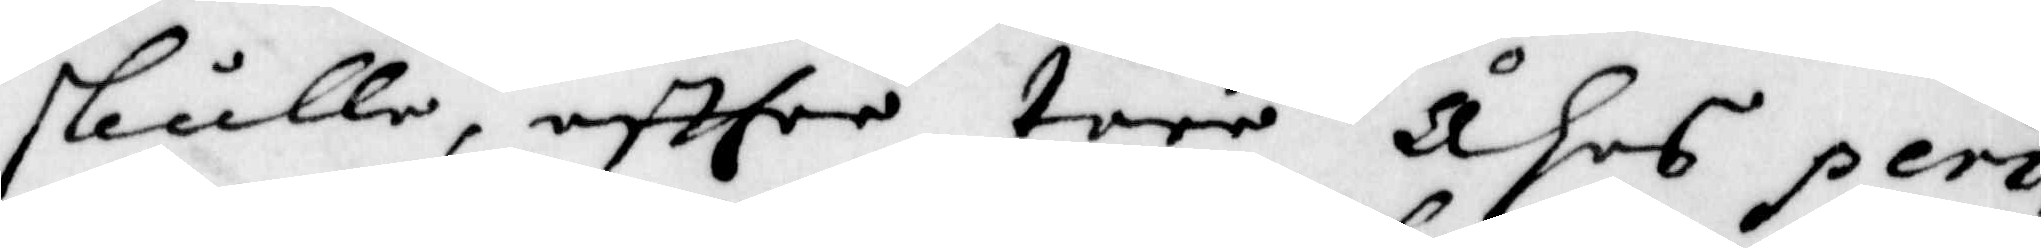skulle affsee tree åhrs peri¬
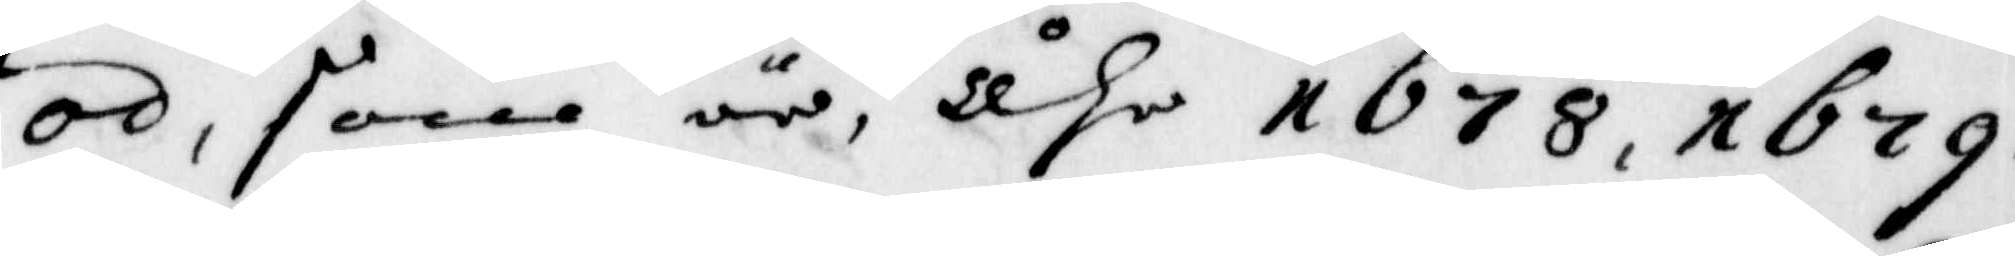od, som är, Åhr 1678, 1679
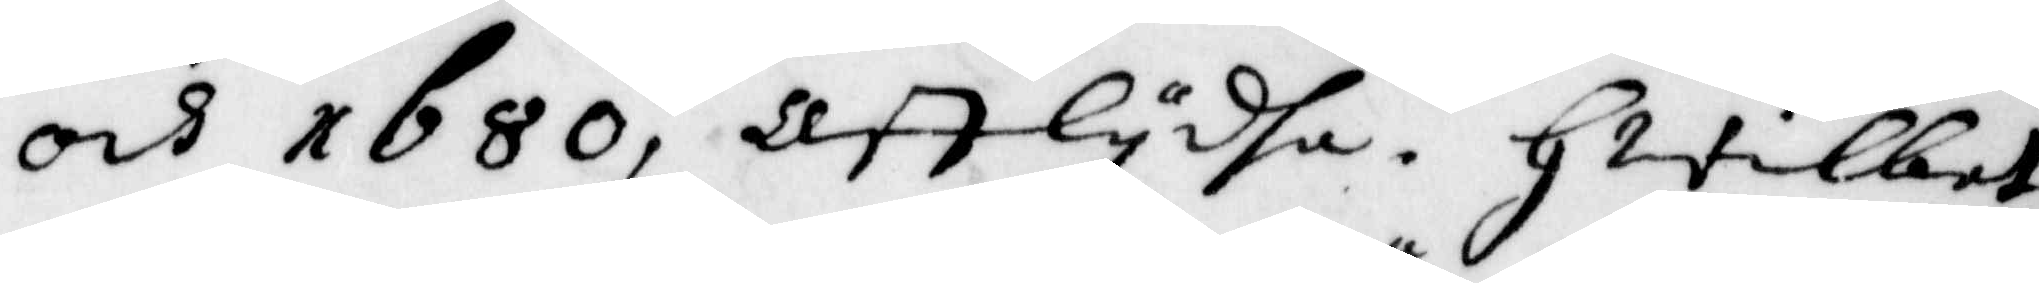och 1680, afflydha. Hwilket
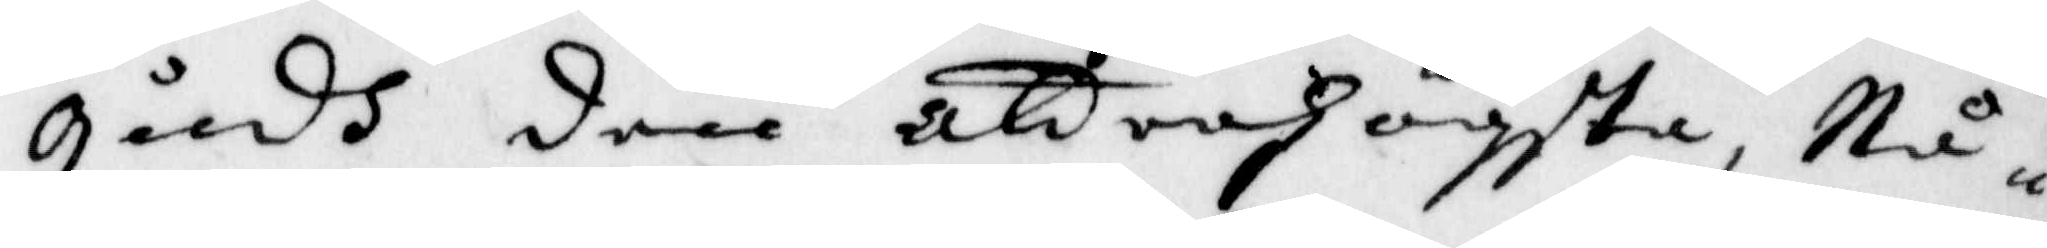gudh dem aldrahögsta, Nå¬
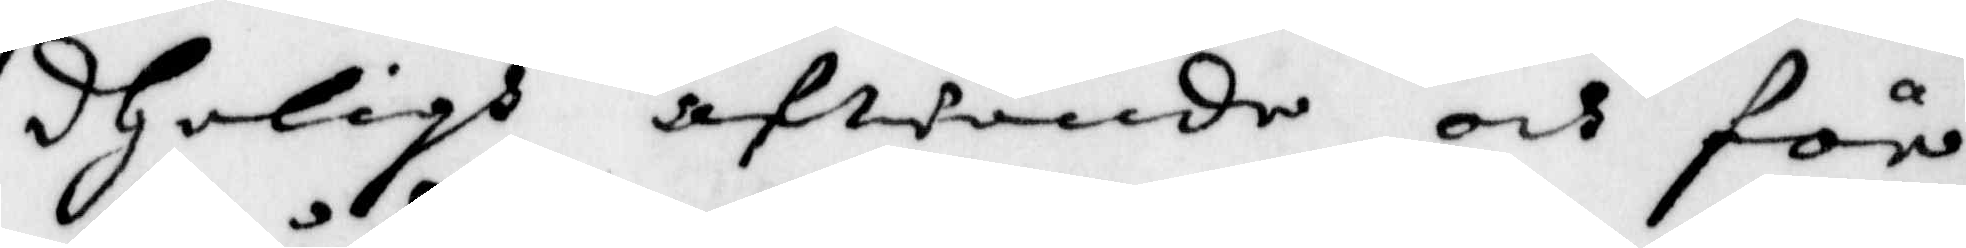dheligh afwände och för¬
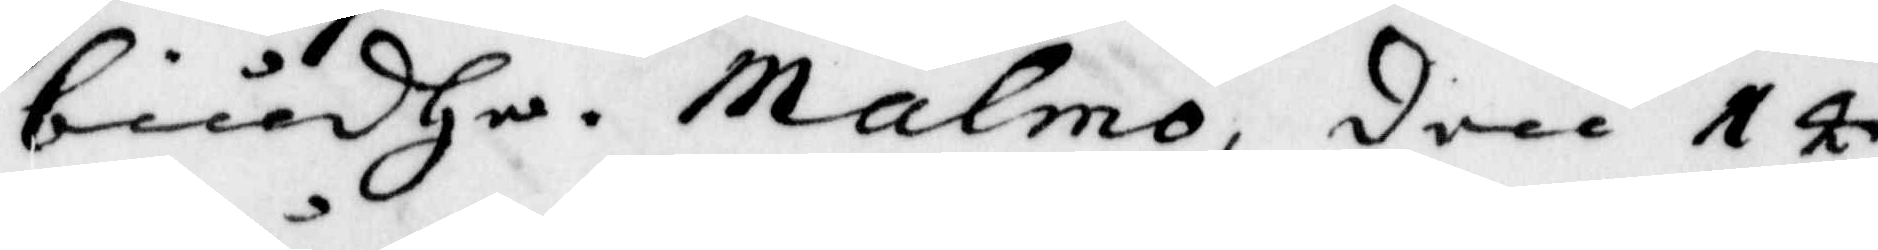biudha. Malmö den 14
